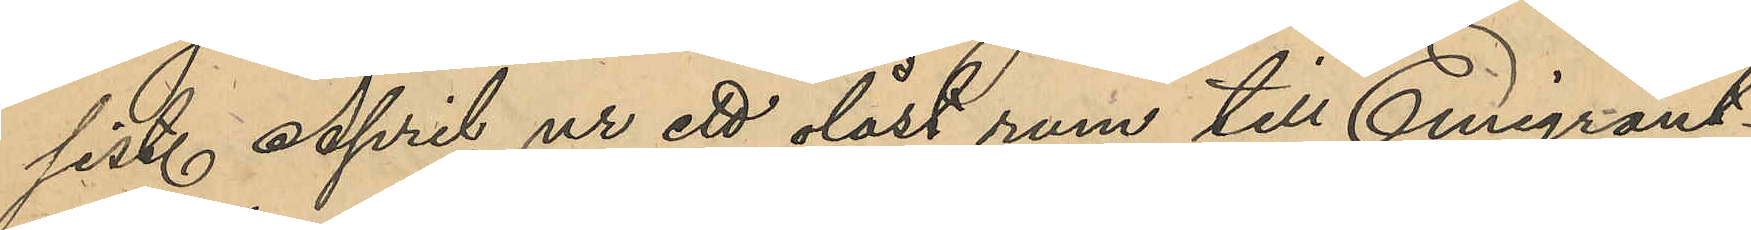sist. April ur ett olåst rum till Emigrant¬
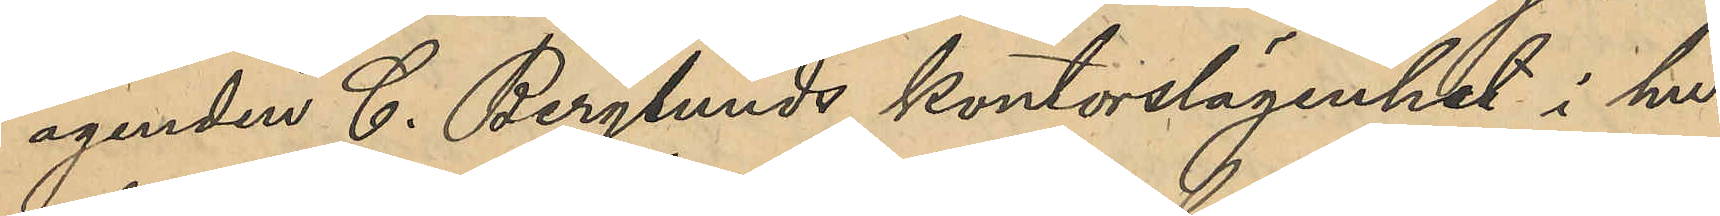agenten C. Berglunds kontorslägenhet i hu¬
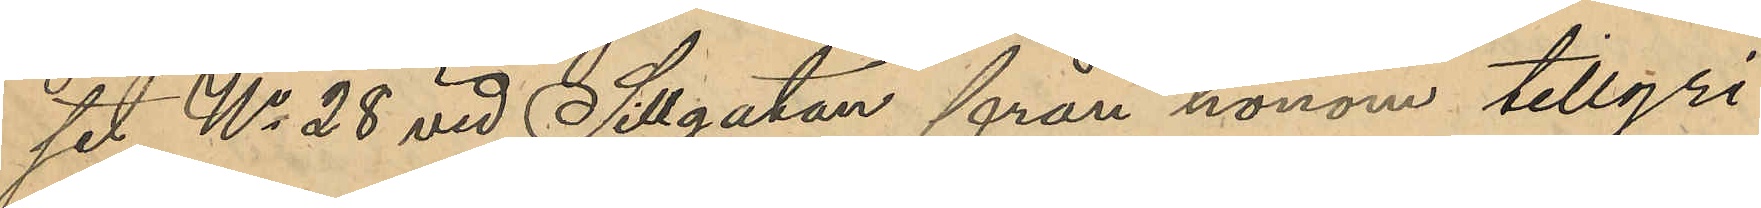set No 28 vid Sillgatan från honom tillgri¬
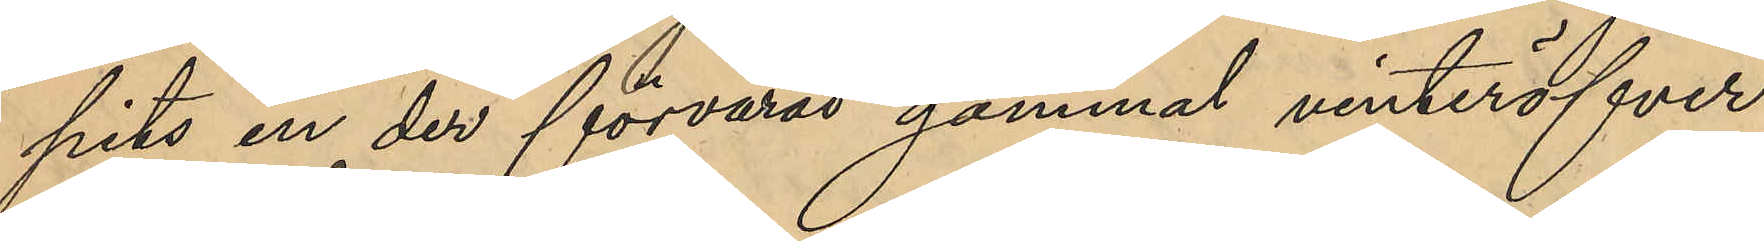pits en der förvarad gammal vinteröfver¬
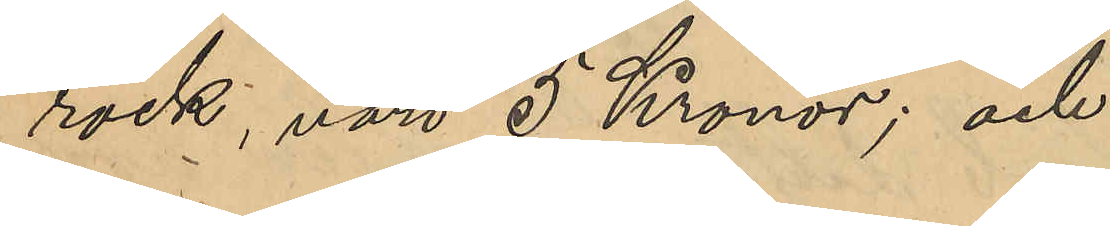rock, värd 5 Kronor; och
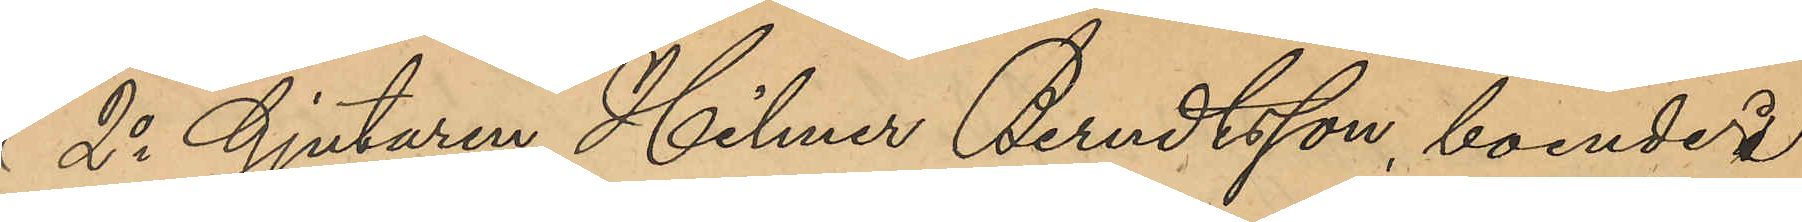2o Gjutaren Hilmer Berndtsson, boende i
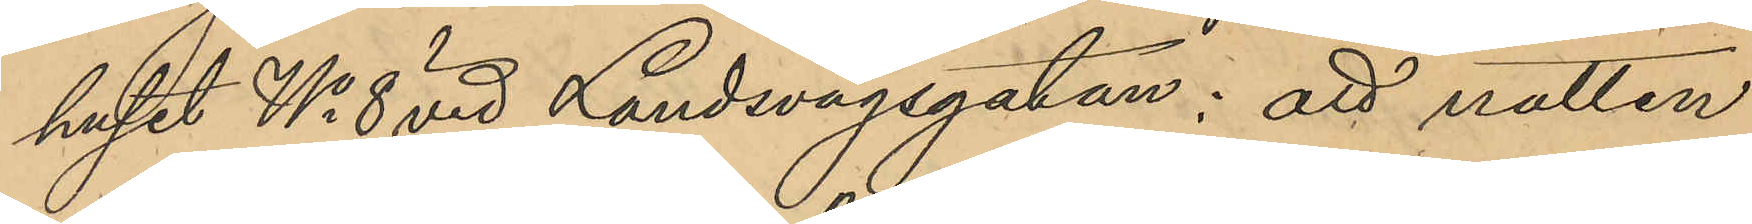huset No 8 vid Landsvägsgatan: att natten
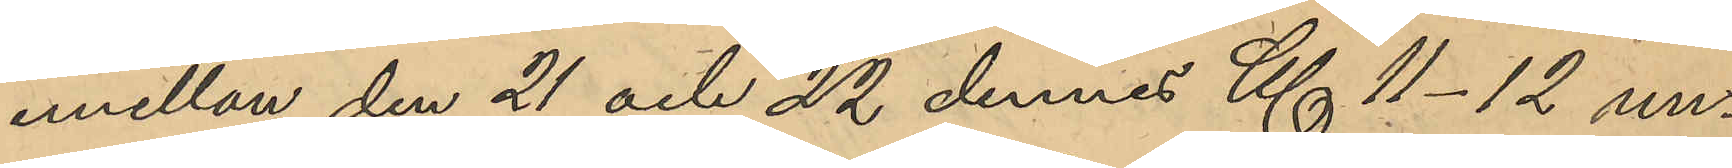emellan den 21 och 22 dennes Kl 11-12 un¬
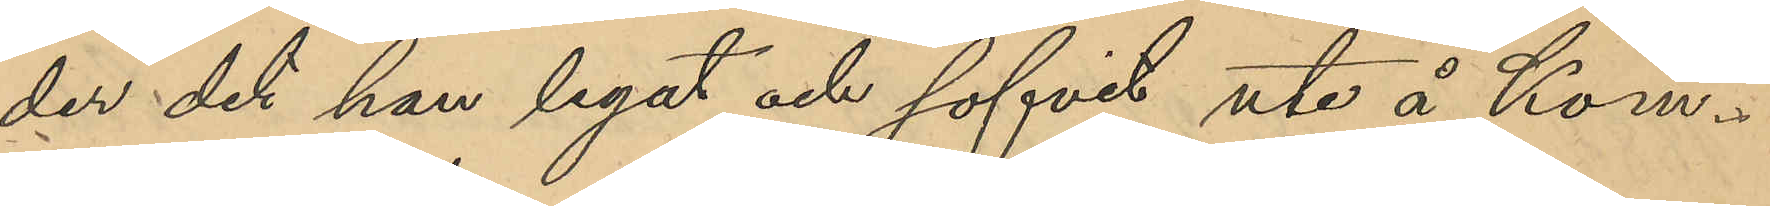der det han legat och sofvit ute å Kom¬
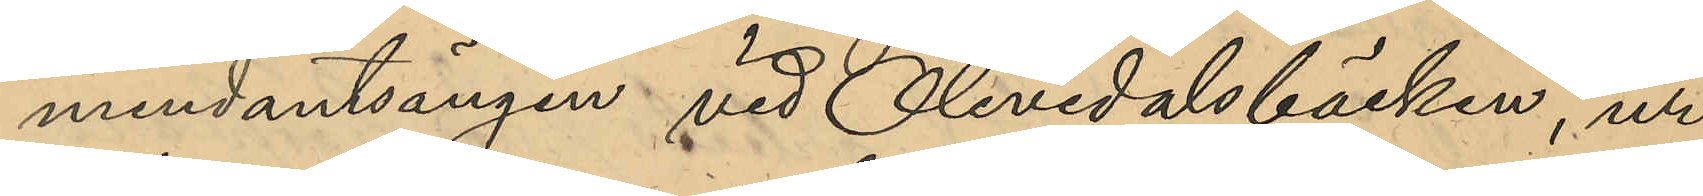mendantsängen vid Olivedalsbäcken, ur
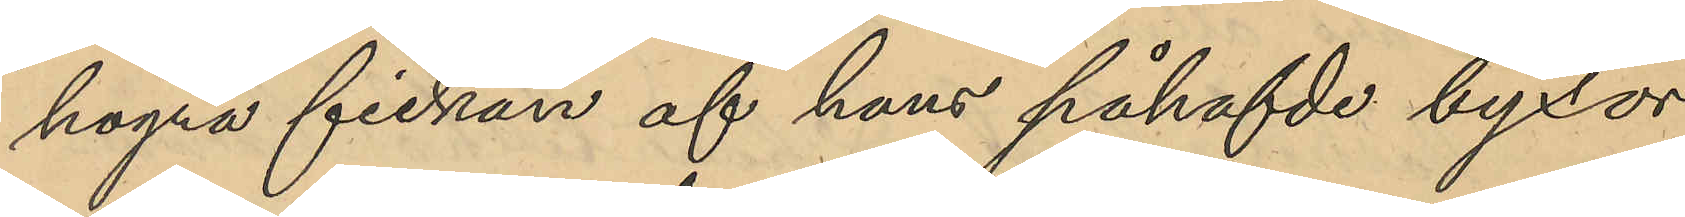högra fickan af hans påhafvde byxor
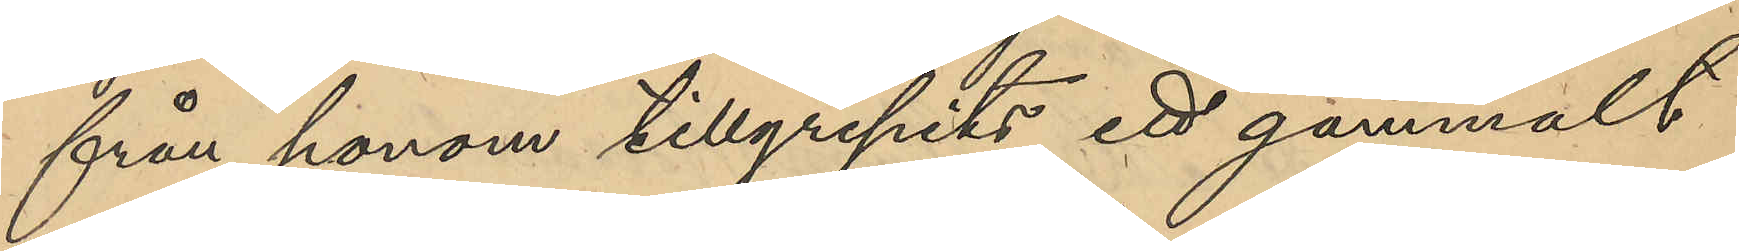från honom tillgripits ett gammalt
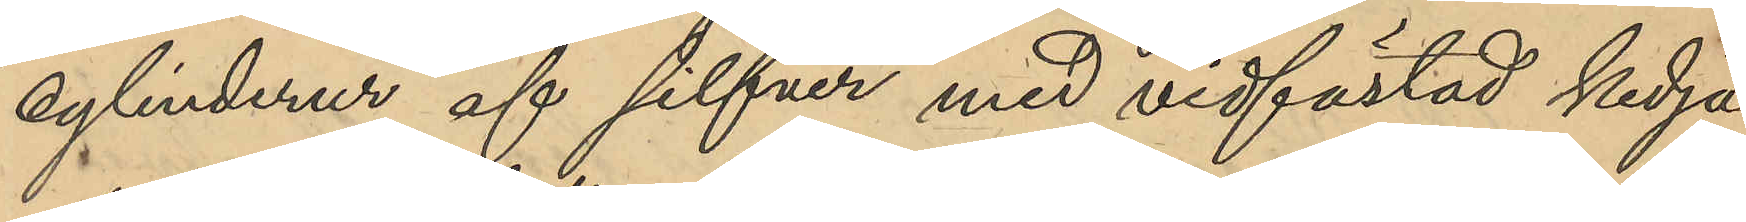cylinderur af silfver med vidfästad kedja
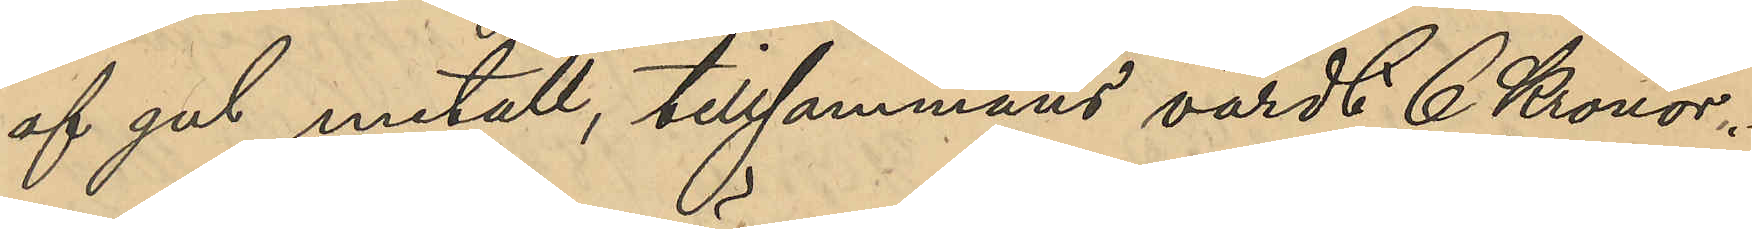af gul metall, tillsammans värdt 6 Kronor,
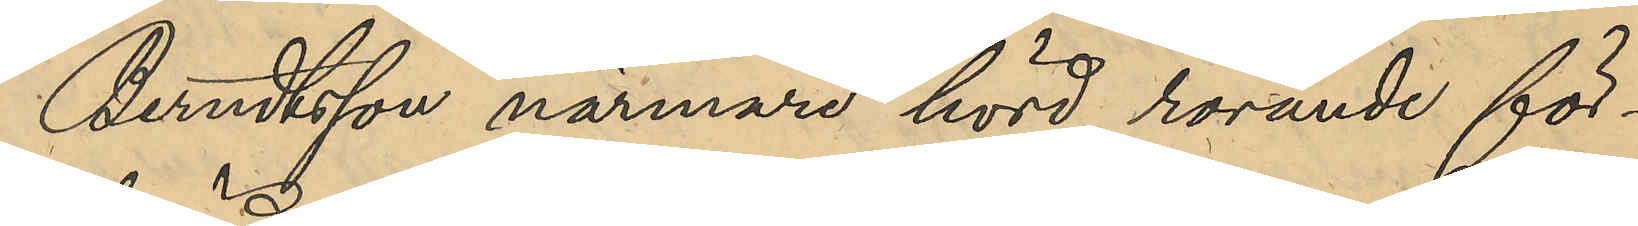Berndtsson närmare hörd rörande för¬
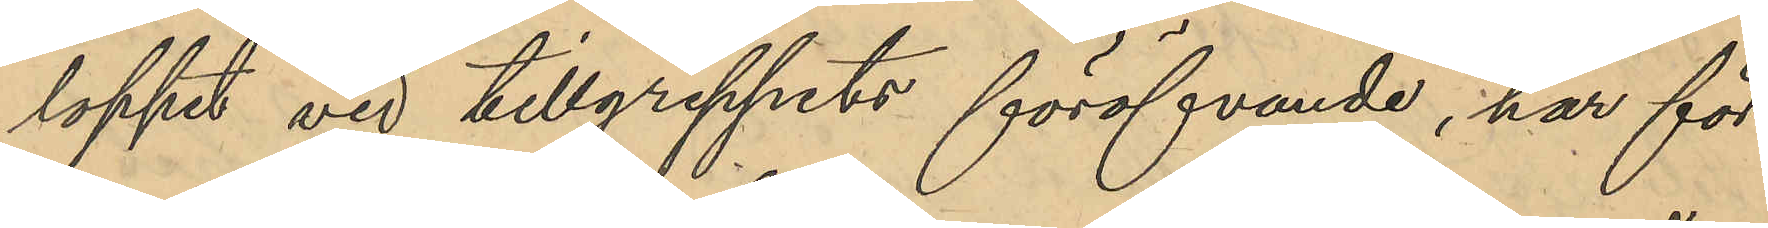loppet vid tillgreppets föröfvande, har för¬
